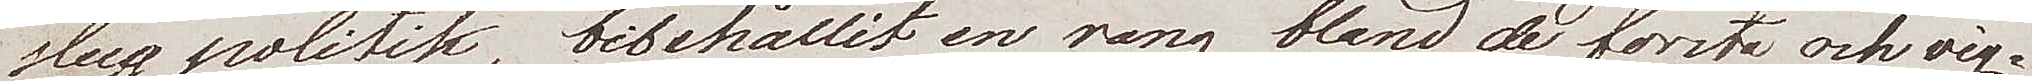slug politik, bibehållit en rang bland de första och vig¬
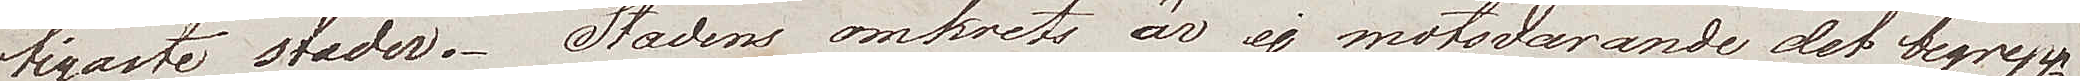tigaste städer. Stadens omkrets är ej motsvarande det begrepp
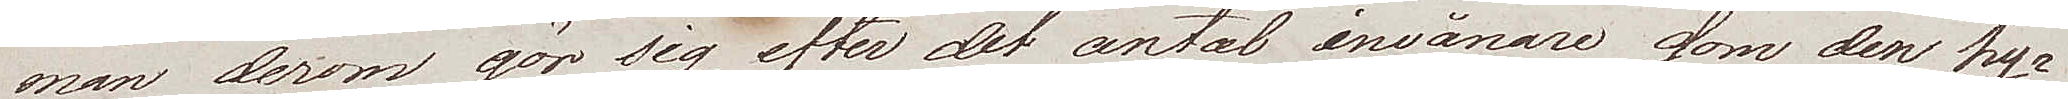man derom gör sig efter det antal invånare som den hy¬
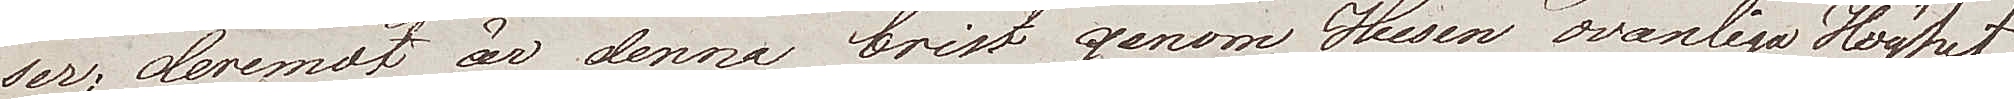ser; deremot är denna brist genom Husens ovanliga Höghet
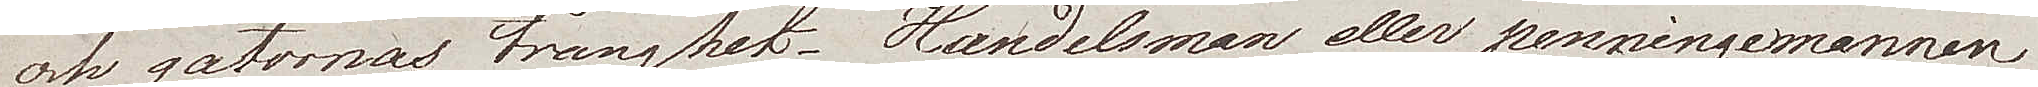och gatornas trånghet. Handelsman eller penningemannen
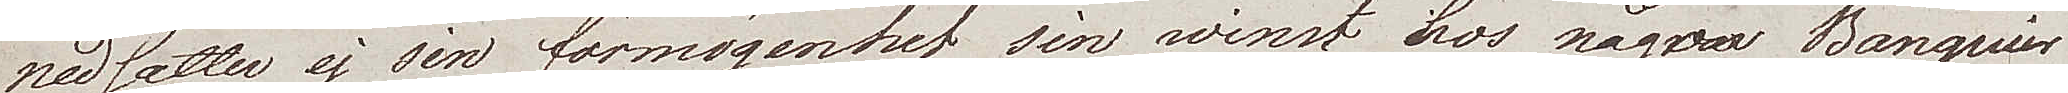nedsätter ej sin förmögenhet sin winst hos någon Banquier
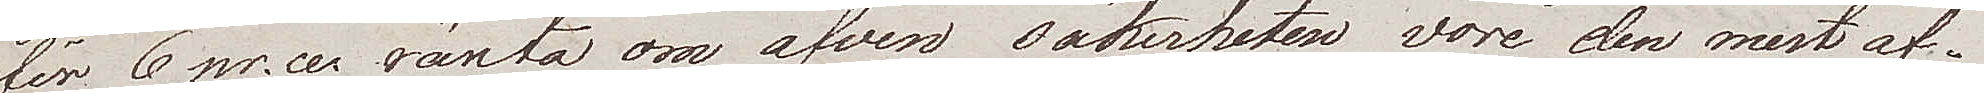för 6 pr.ce. ränta om äfven säkerheten vore den mest af¬
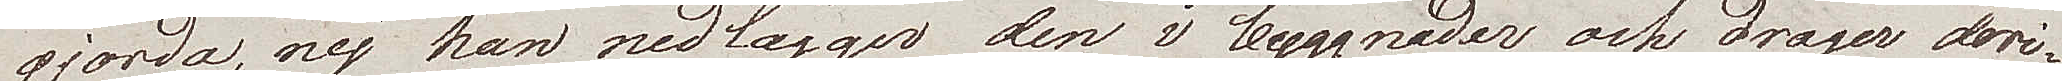gjorda, nej han nedlägger den i byggnader och drager deri¬
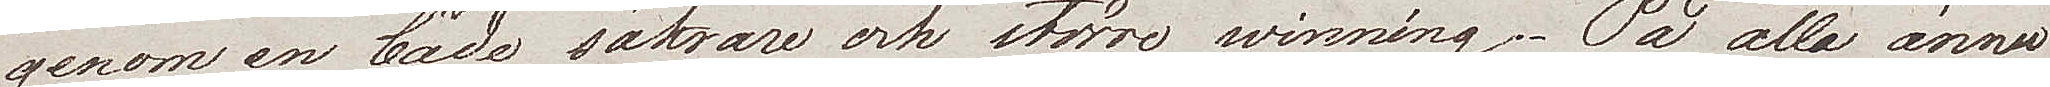genom en både säkrare och större winning. På alla ännu
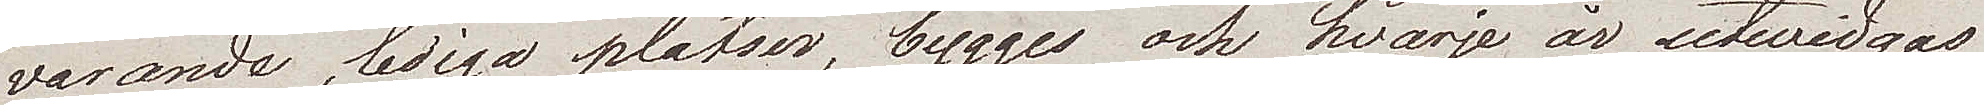varande, lediga platser, bygges ock hvarje år utvidgas
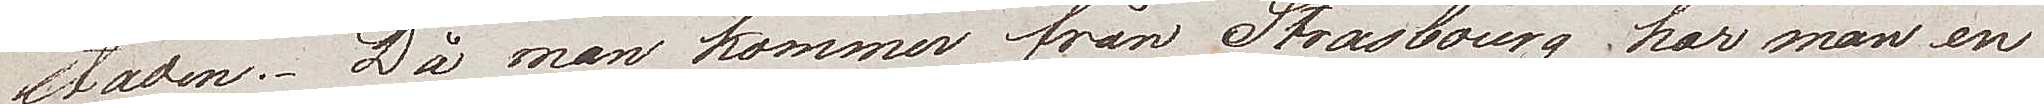staden. Då man kommer från Strasbourg har man en
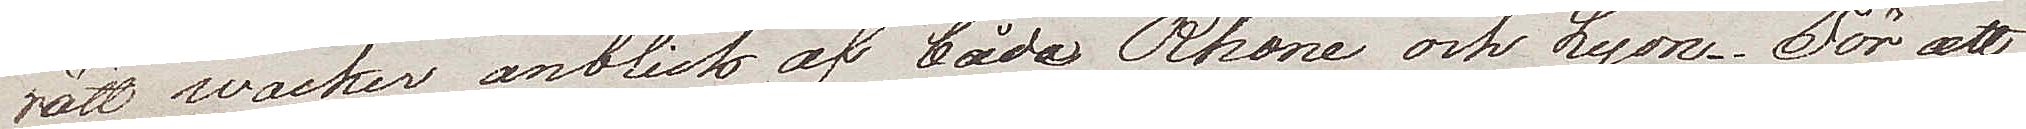rätt vacker anblick av både Rhone och Lyon. För att
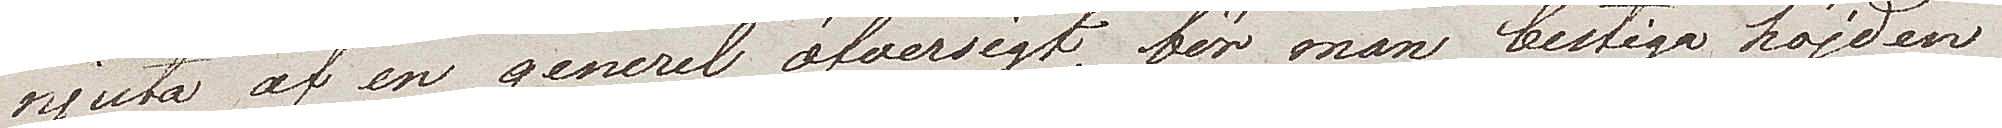njuta af en generel öfversigt, bör man bestiga höjden
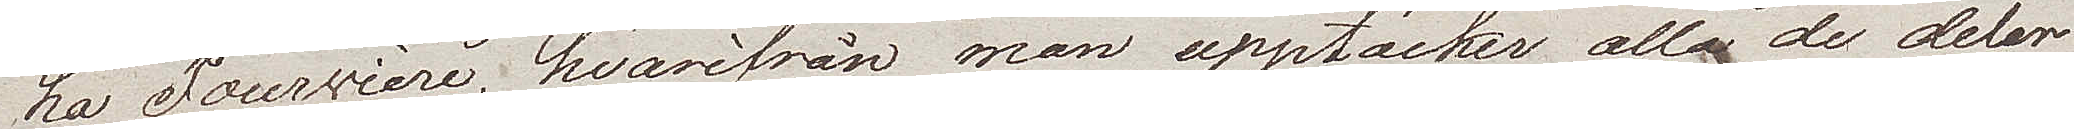La Fourvière, varifrån man upptäcker alla de delar
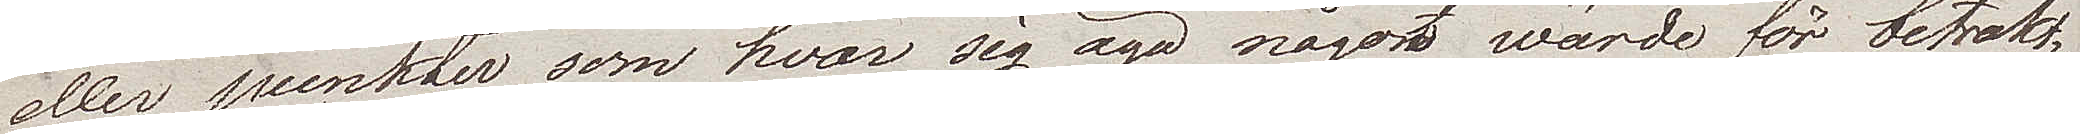eller punkter som hvar sig äga något wärde för betrakt¬
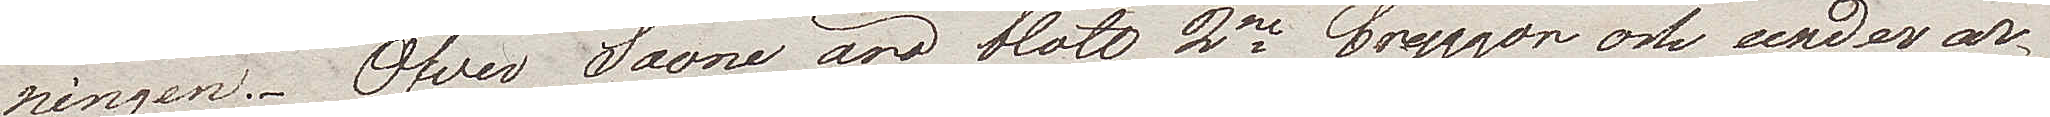ningen. - Öfver Saone äro blott 2ne bryggor och under ar¬
